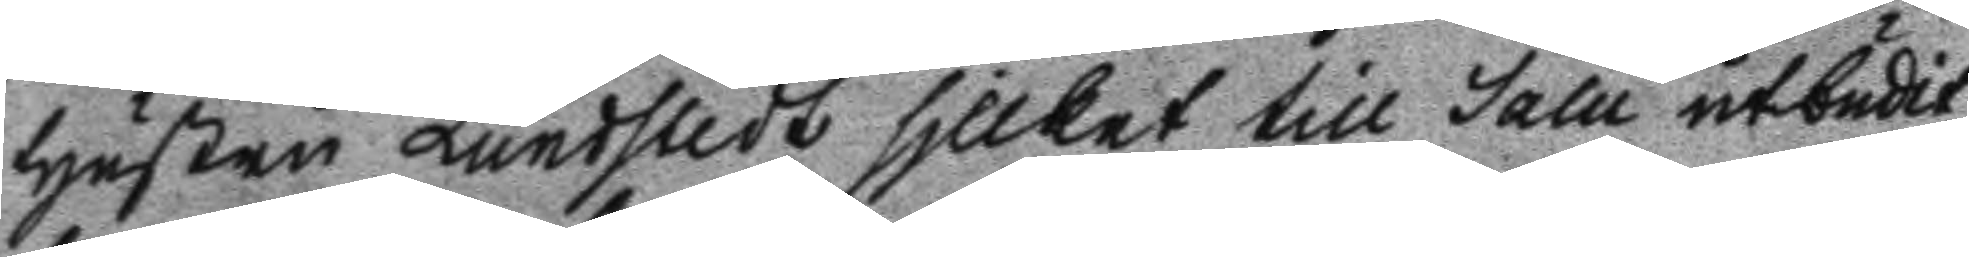Hustru Lundstedt sjllket till salu utbudit,
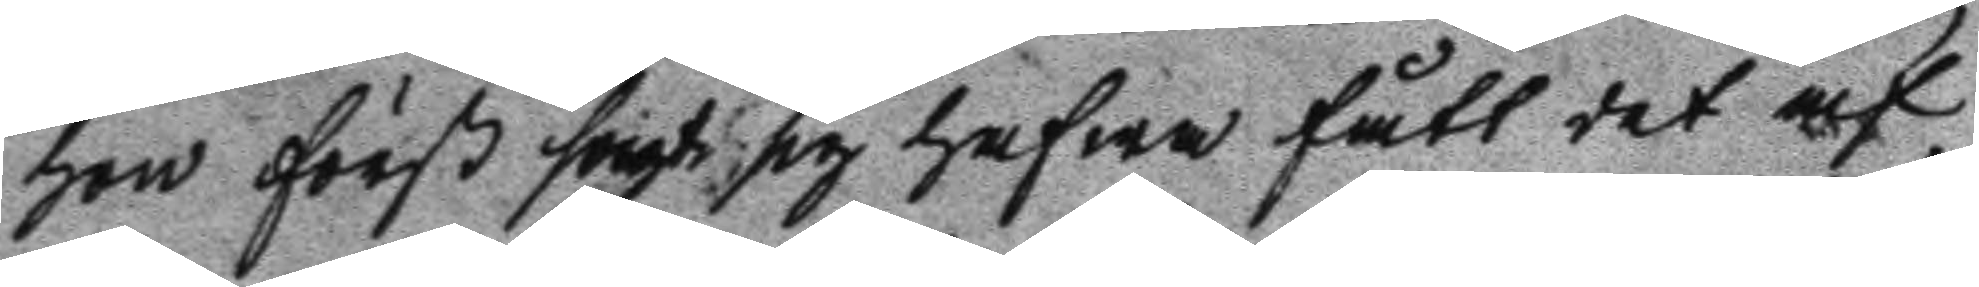hon först sagt sig hafwa fått det af
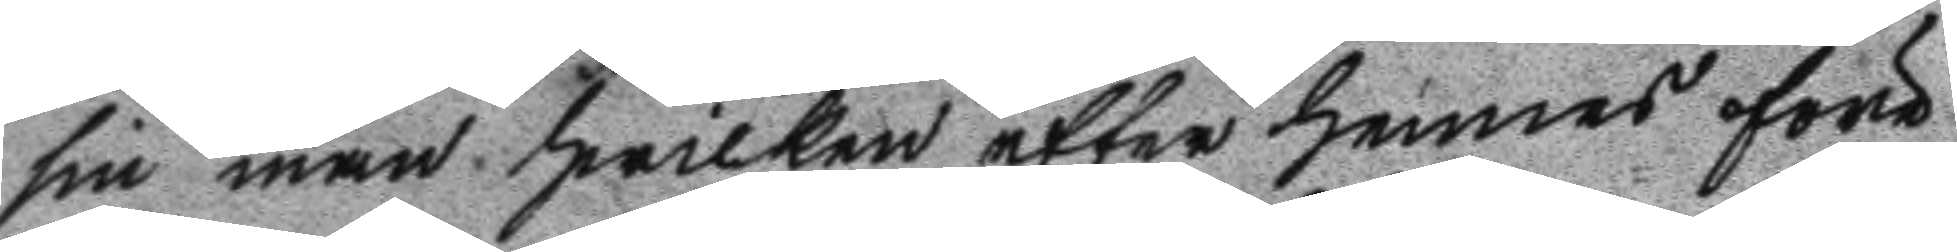sin man hwilken efter hennes före
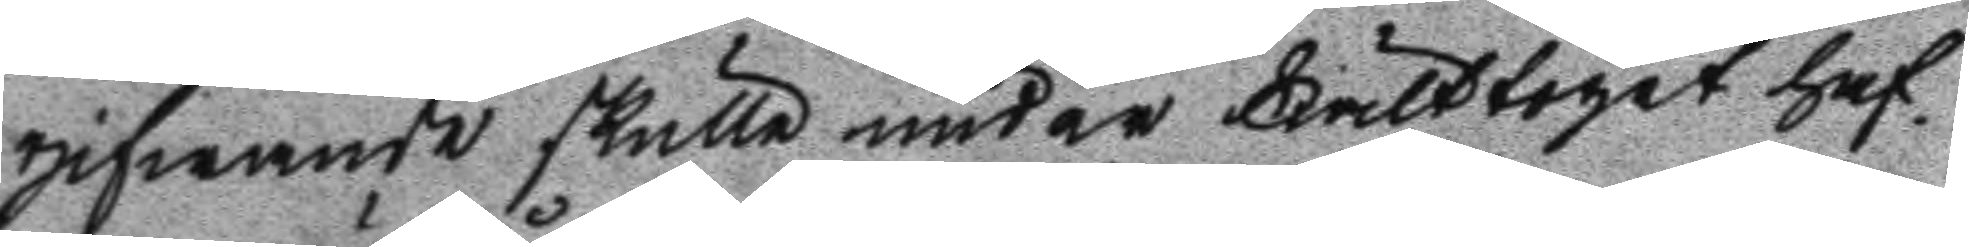gifwande skulle under Fälttoget haf
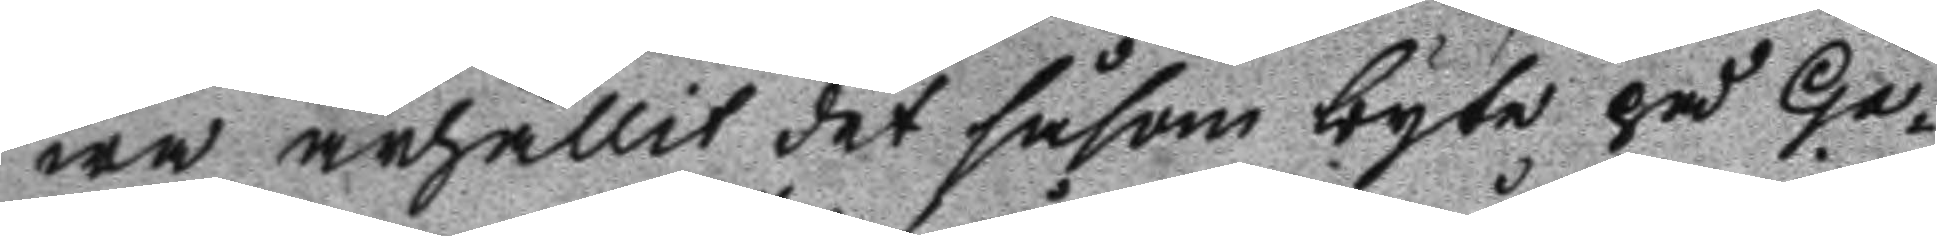wa ärhållit det såsom byte på Ga¬
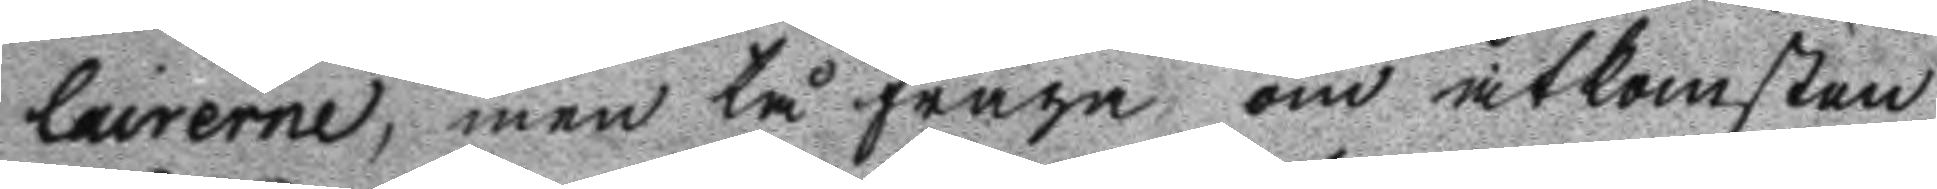lairerne, men tå fråga om åtkomsten
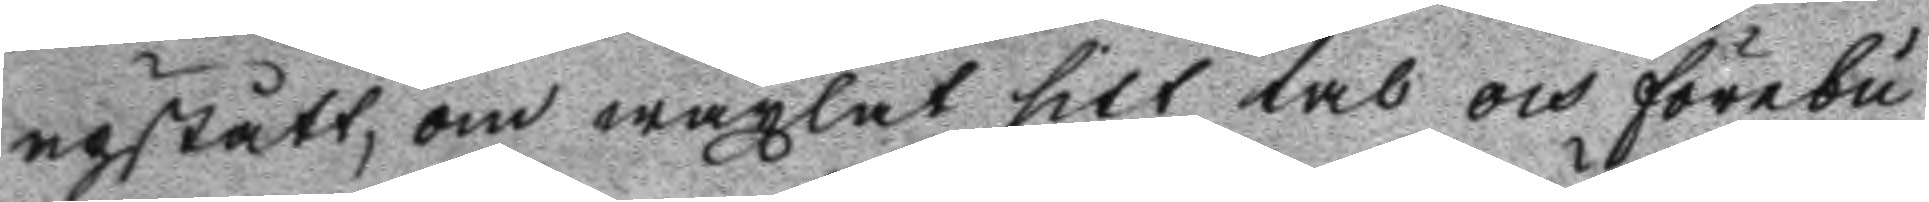upstått, om wäxlat sitt tal och förebu
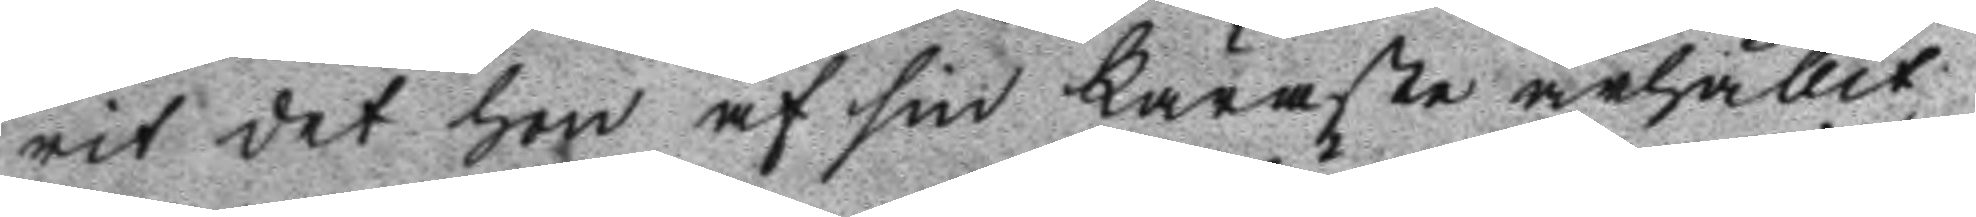rit det hon af sin Käraste ärhållit
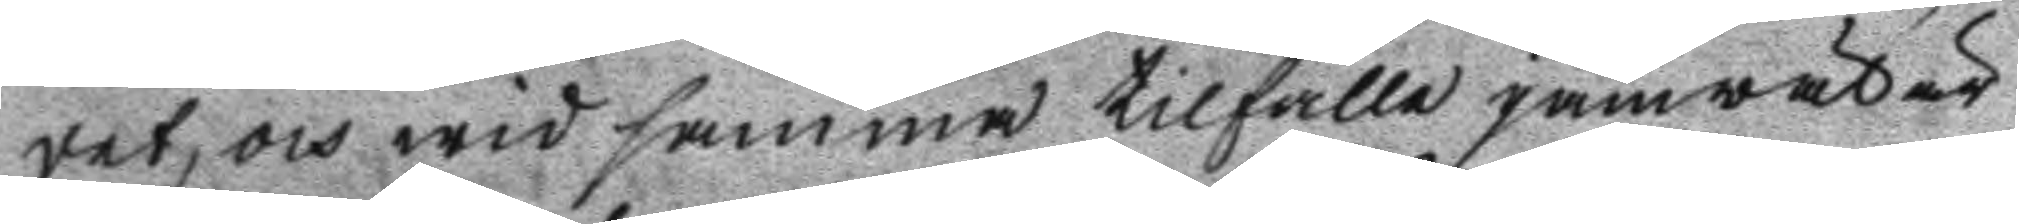det, och wid samma tillfälle jämwäl är
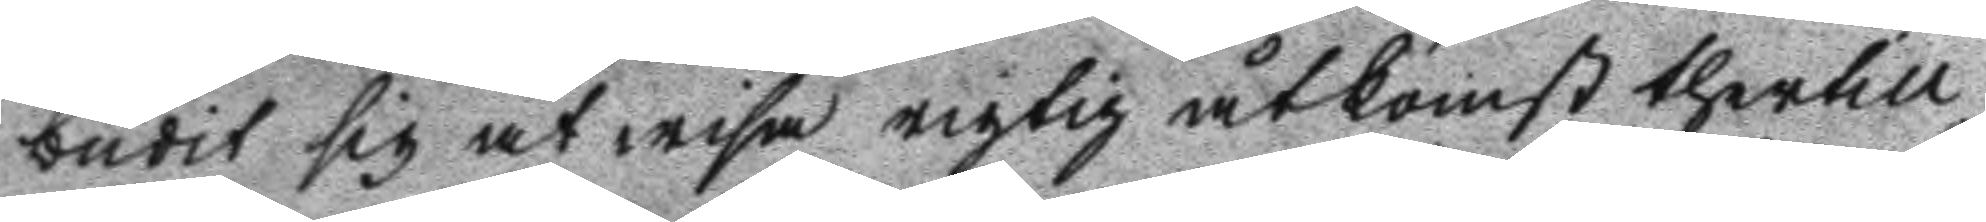budit sig at wisa rigtig åtkomst thertill
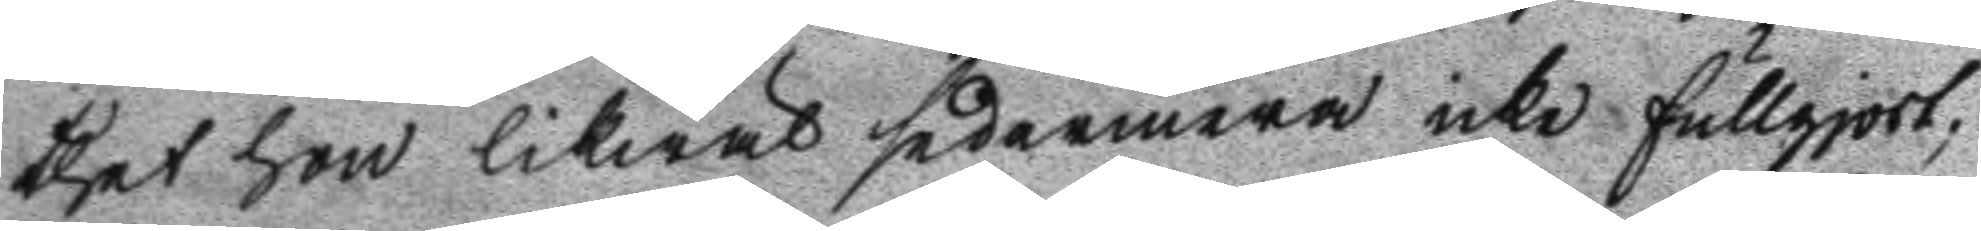thet hon likwäl sedermera icke fullgjort;
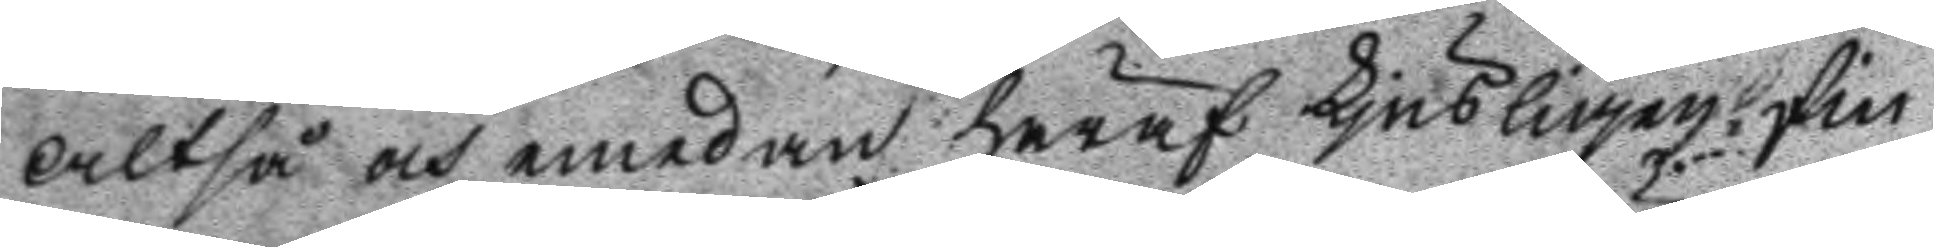altså och emedan häraf ljusligen fin
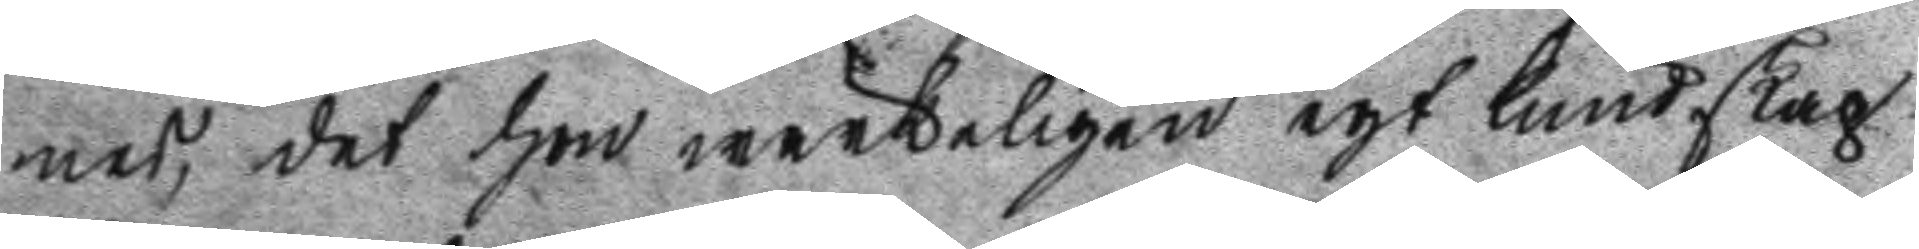nes, det hon wärkeligen egt kundskap
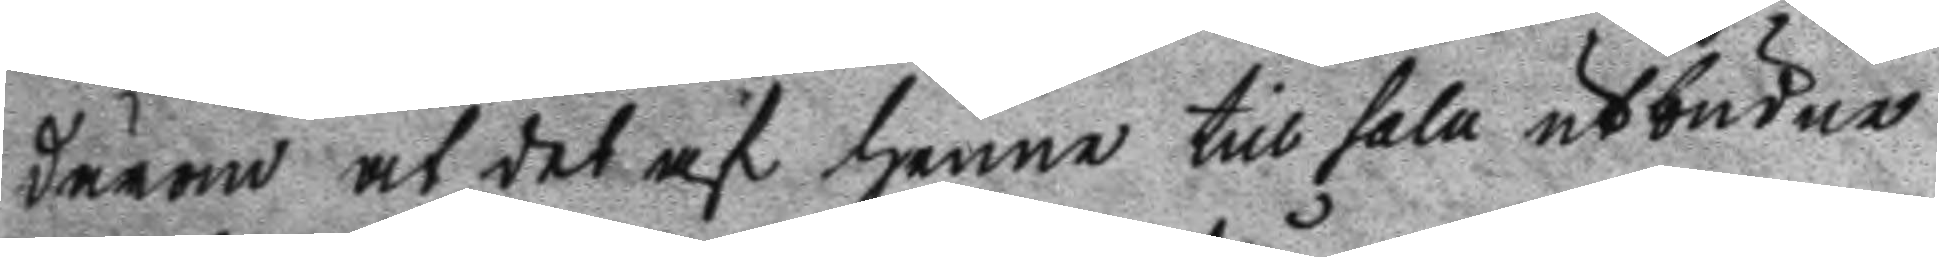därom at det af henne till salu utbudne
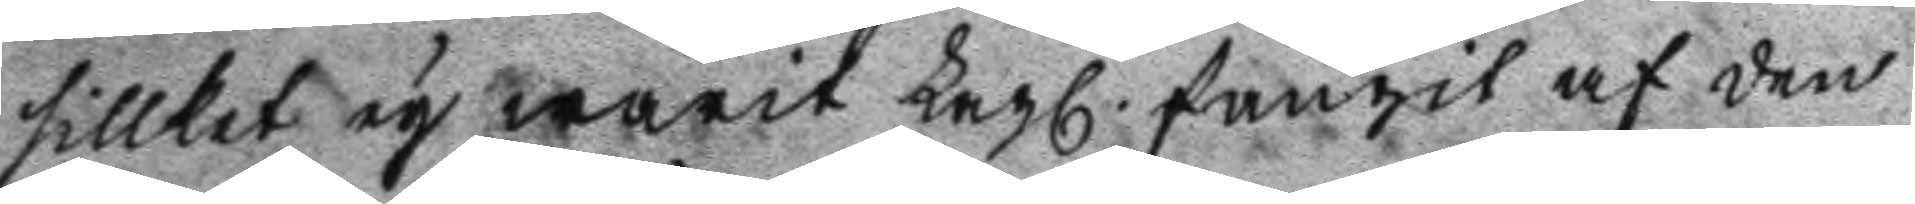sillket ey warit Lagl. fångit af den
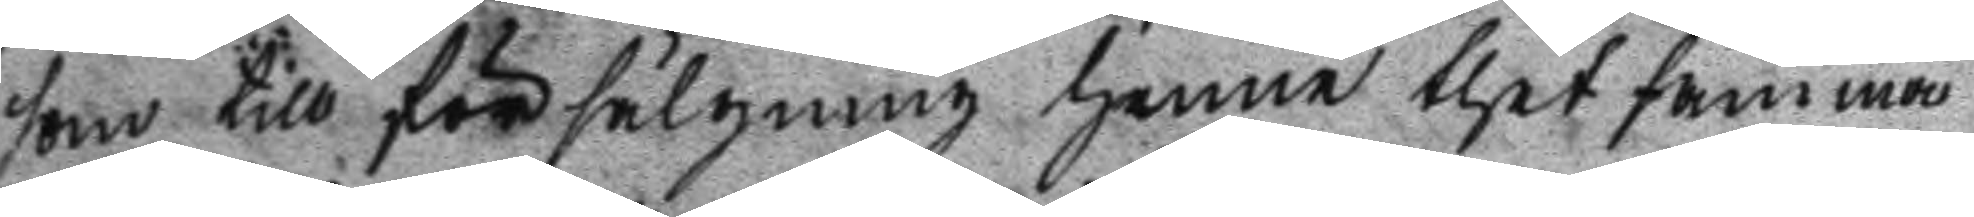som till försälgning henne thet samma
